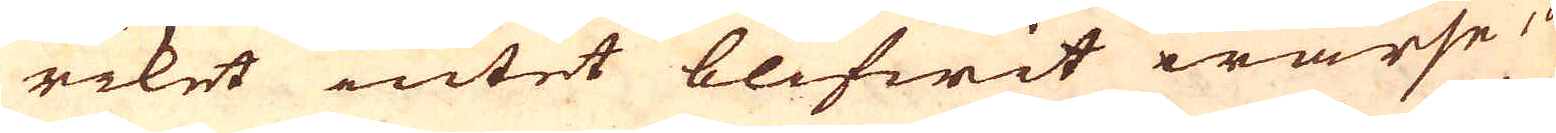riket intet blifwit warse, och
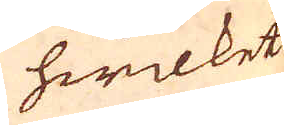hwilket
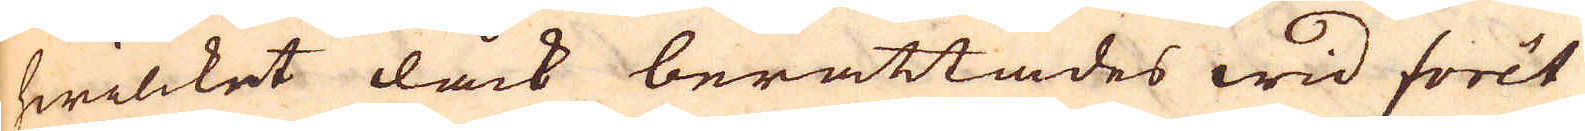hwilcket dåck berättades wid Forêt
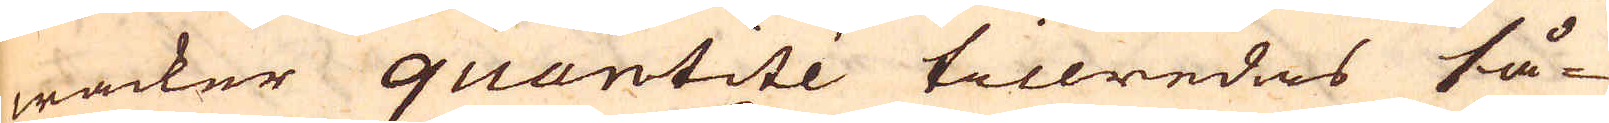wacker quantité tillredes så-
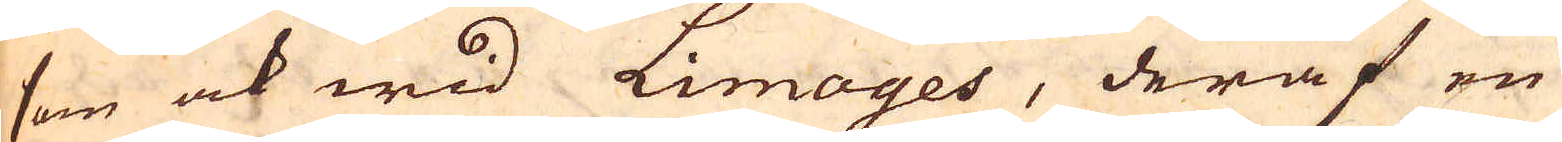som ock wid Limoyes, deraf en
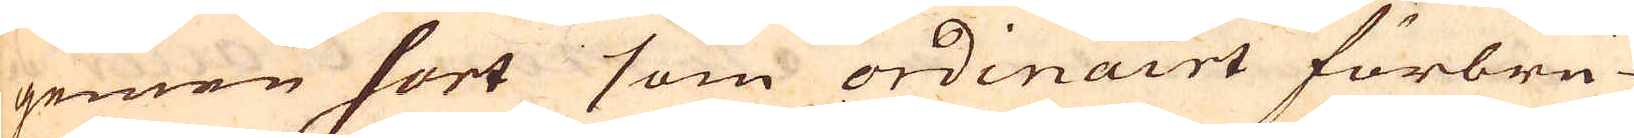gemen sort som ordinairt förbru-
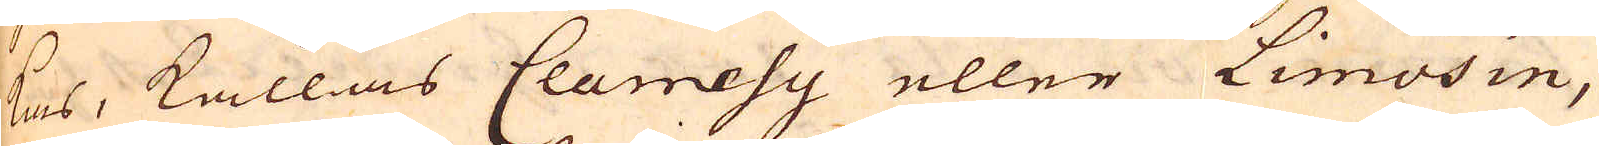kas, kallas Clamesy eller Limosin,
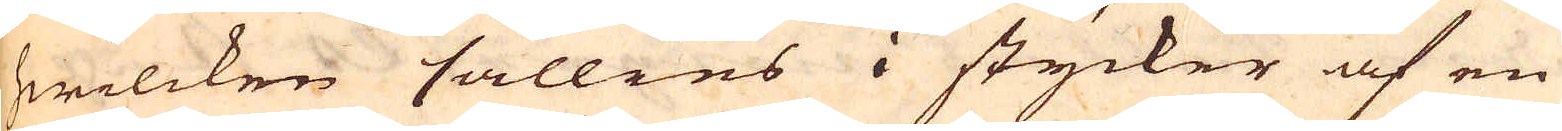hwilcken sällies i stycker af en
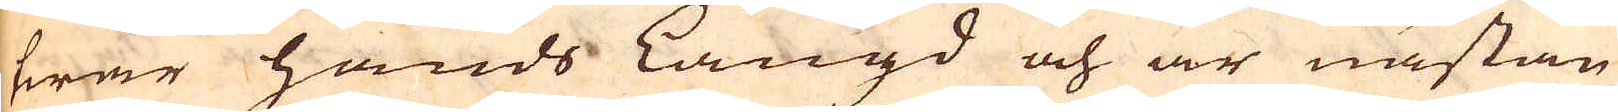twär hands Längd och är nästan
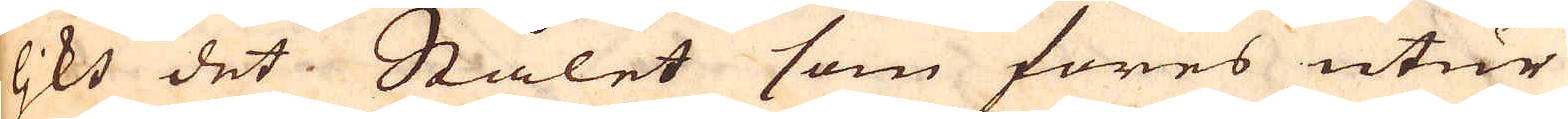ljkt det Stålet som föres utur
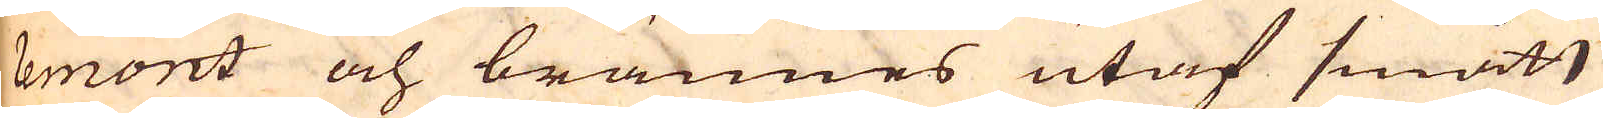lemont och brännes utaf smått
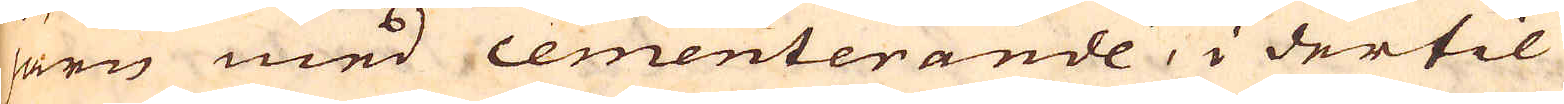järn med cementerande, i dertil
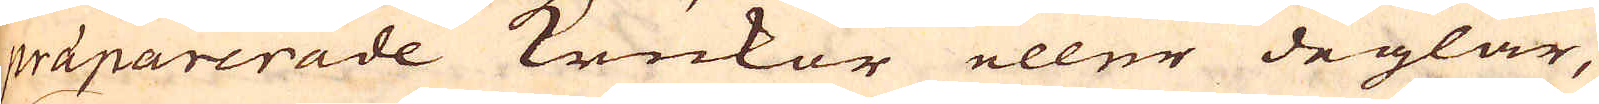präparerade krukor eller deglar,
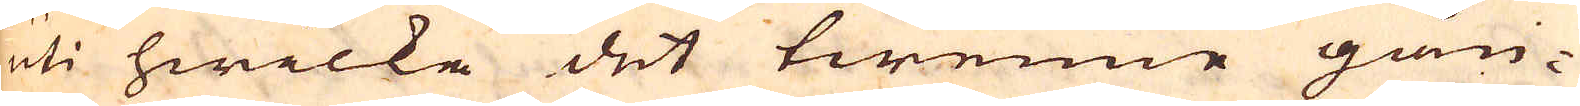uti hwilka det twenne gån-
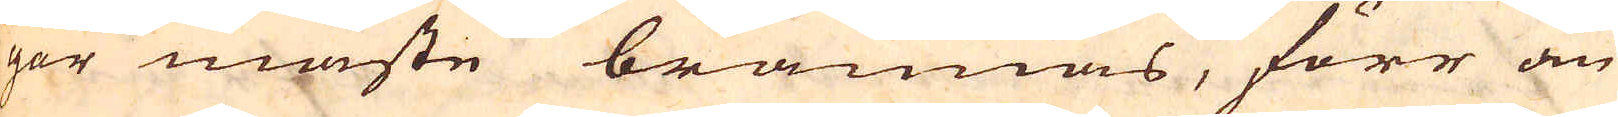ger måste brännas, förr än
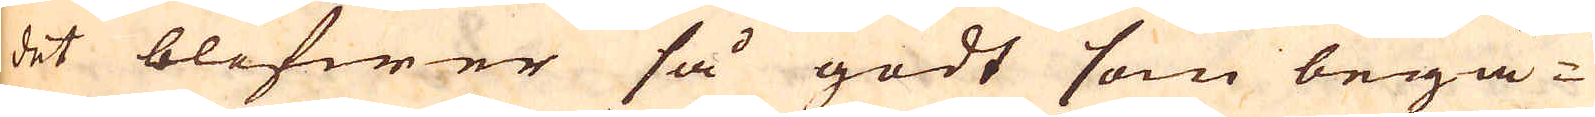det blifwer så godt som begä-
